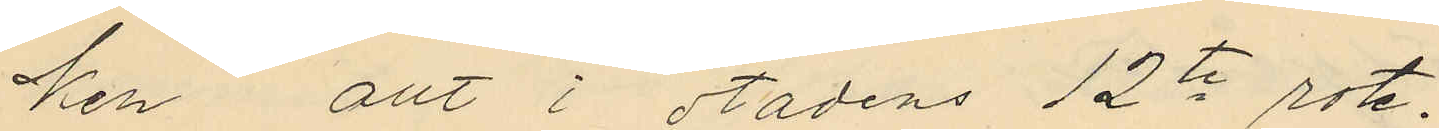ken allt i stadens 12te rote.
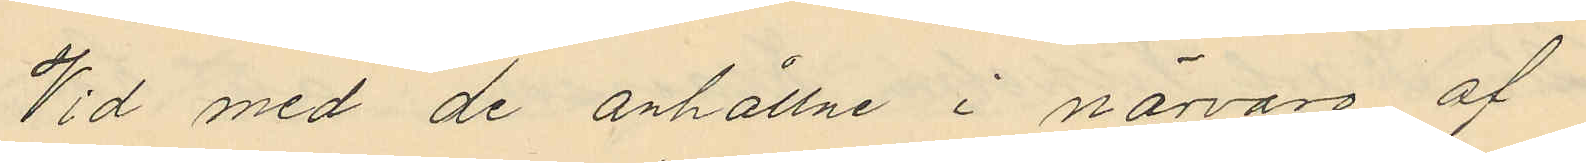Vid med de anhållne i närvaro af
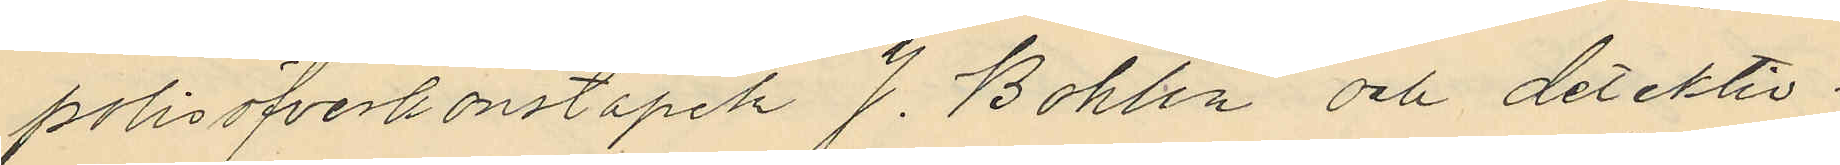polisöfverkonstapeln J. Bohlin och detektiv¬
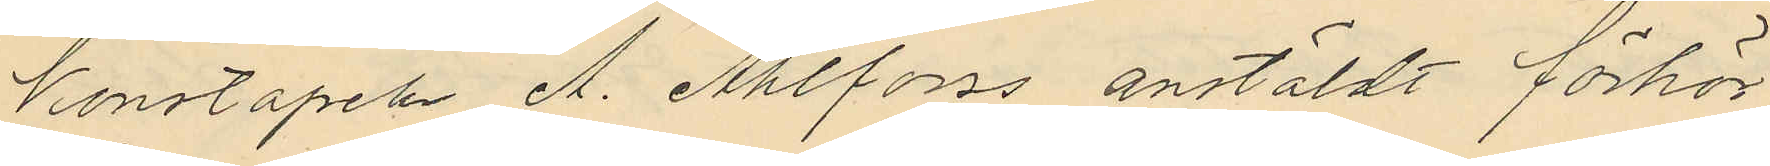konstapeln A. Ahlforss anstäldt förhör
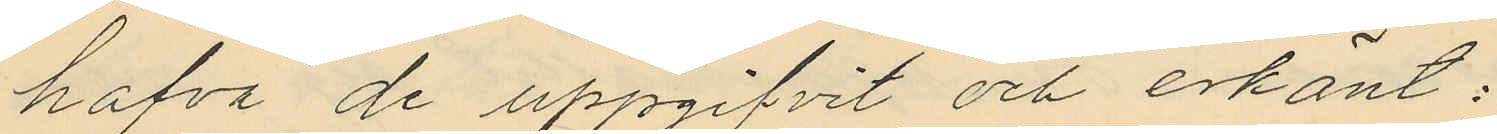hafva de uppgifvit och erkänt:
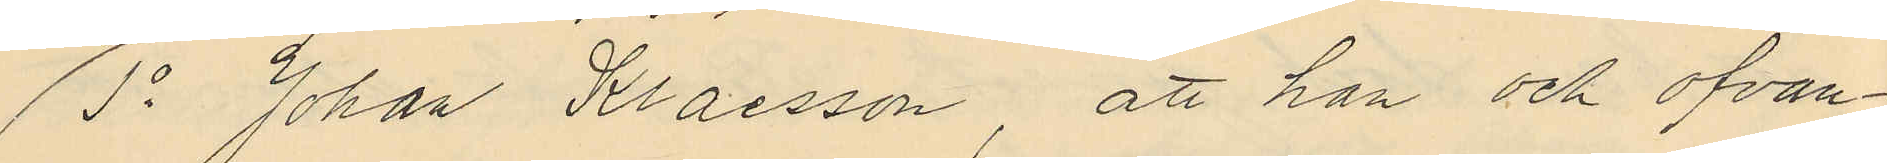1o Johan Klaesson att han och ofvan¬
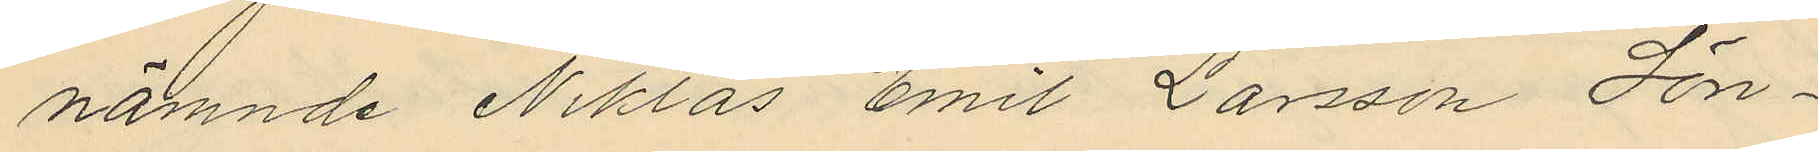nämnde Niklas Emil Larsson Sön¬
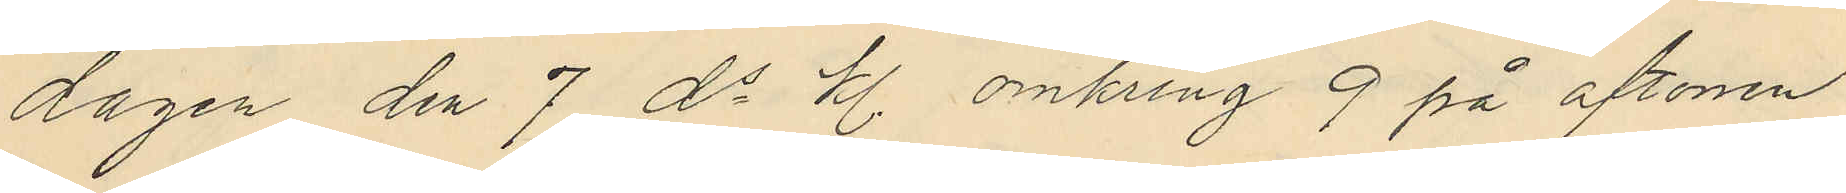dagen den 7 ds kl. omkring 9 på aftonen
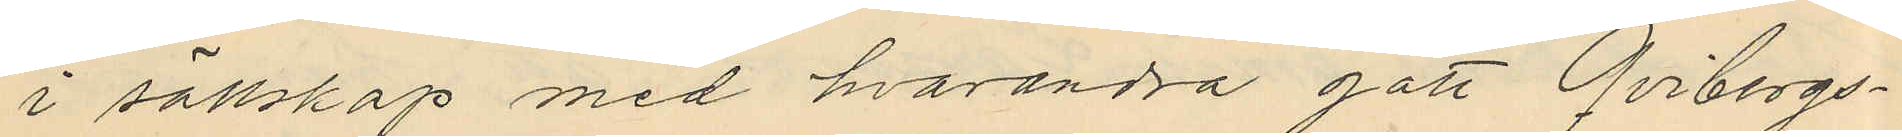i sällskap med hvarandra gått Qvibergs¬
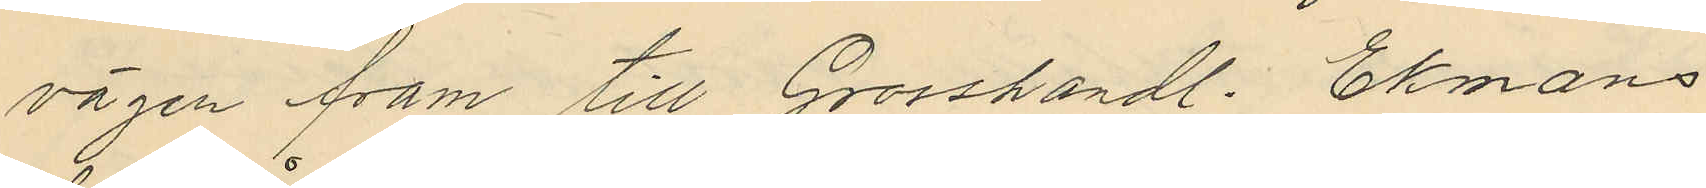vägen fram till Grosshandl. Ekmans
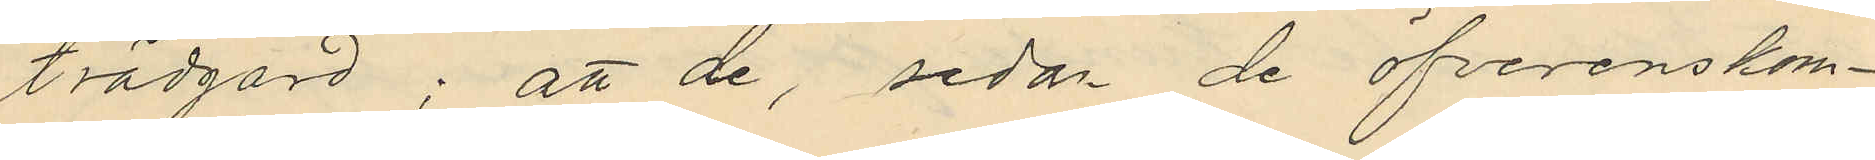trädgård; att de, sedan de öfverenskom¬
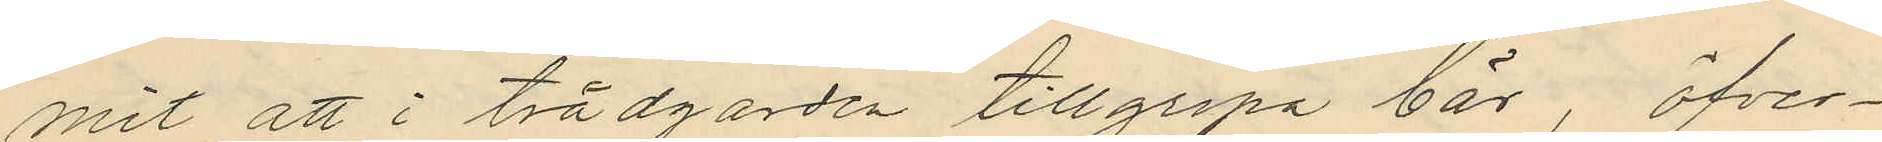mit att i trädgården tillgripa bär, öfver¬
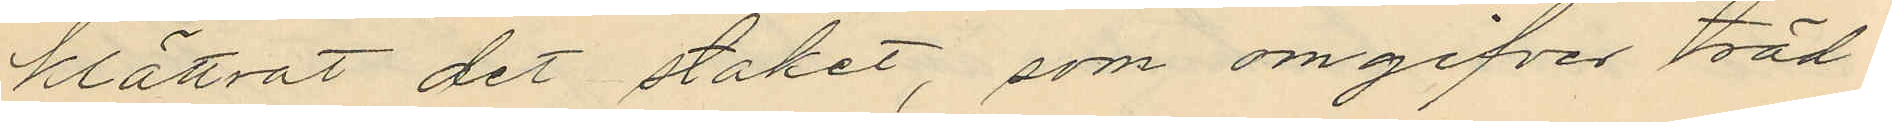klättrat det staket, som omgifver träd¬
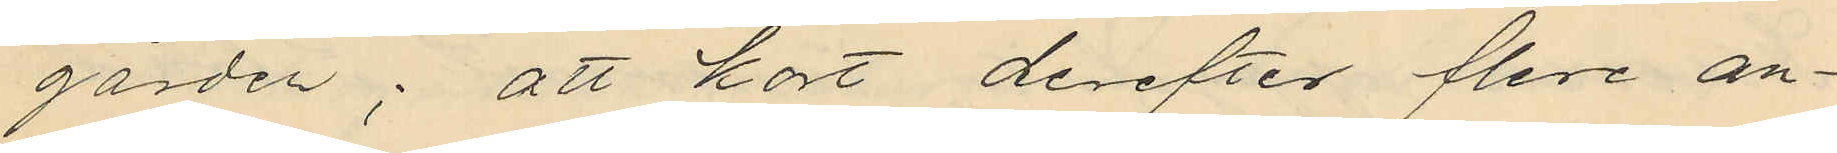gården; att kort derefter flera an¬
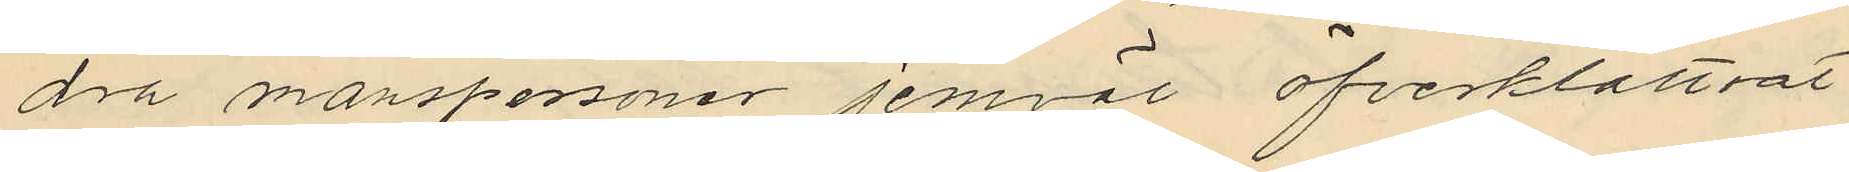dra manspersoner jemväl öfverklättrat
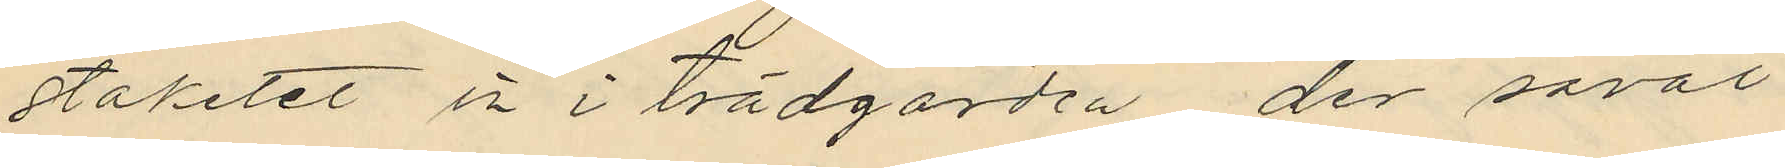staketet in i trädgården der såväl
